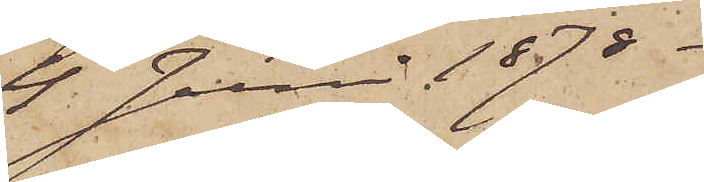4 Juni 1878.
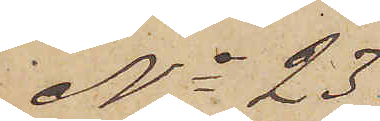No 23
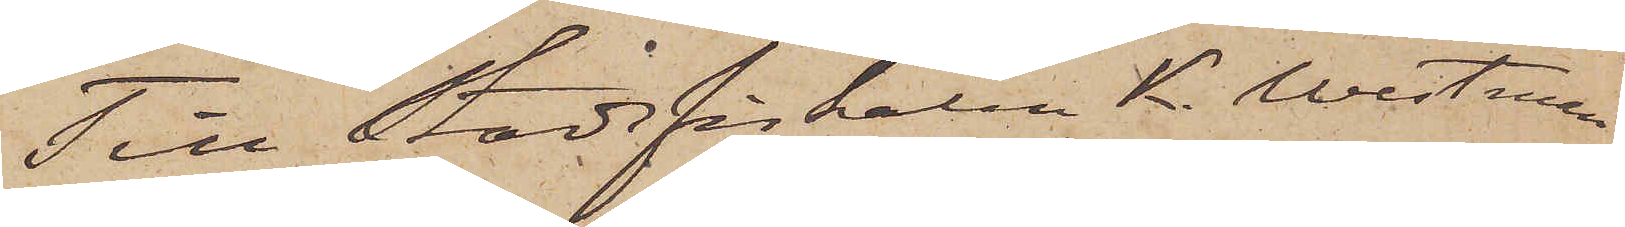Till Stadsfiskalen K. Westman
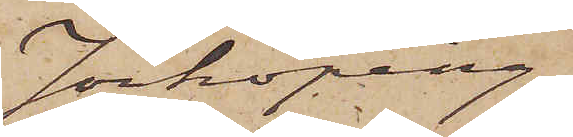Jönköping.
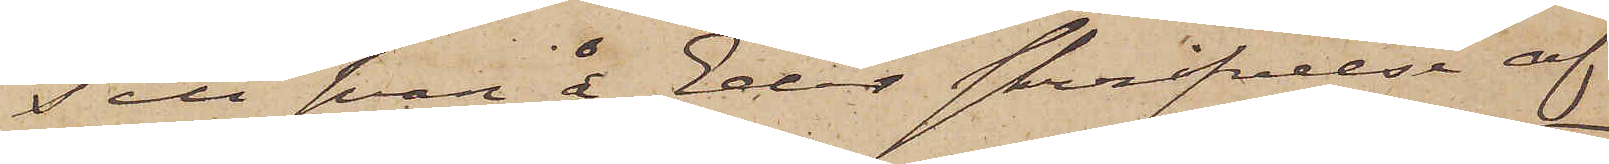Till svar å Eder skrifvelse af
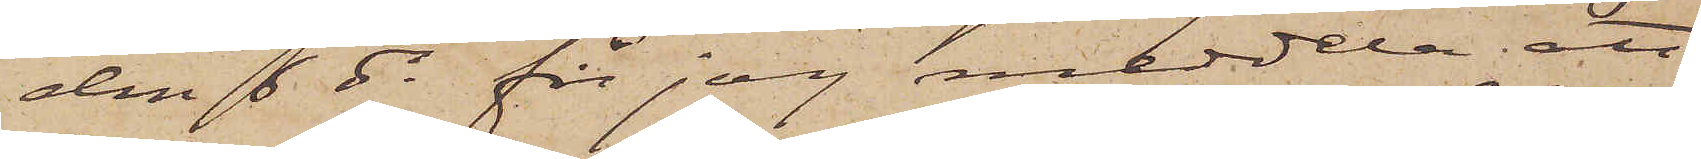den 6 ds får jag meddela att
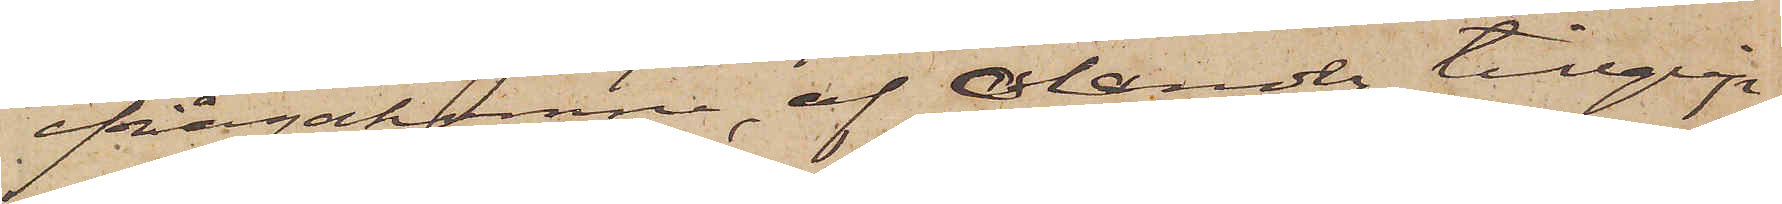ifrågakomne, af Olander tillgrip¬
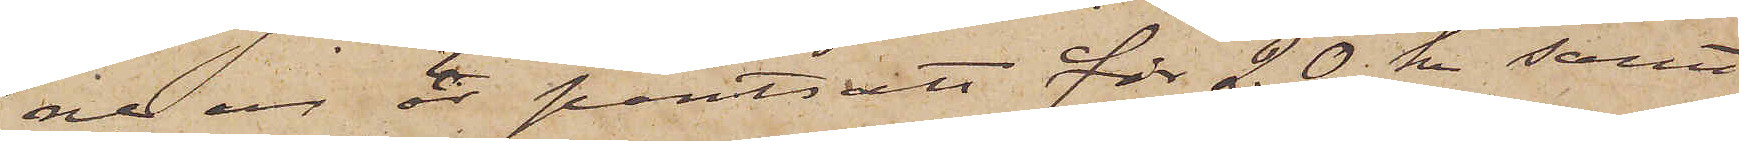ne ur är pantsatt för 20 kr. samt
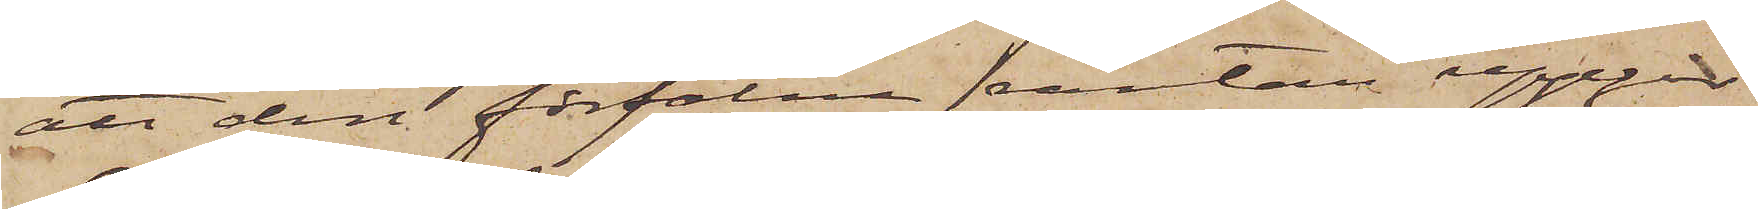att den förfalna räntan uppgår
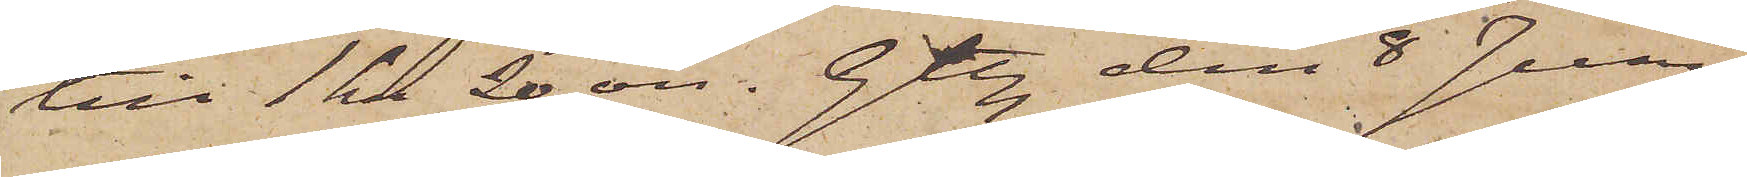till 1 kr 20 öre. Gtbg den 8 Juni
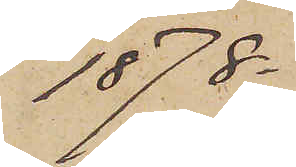1878.
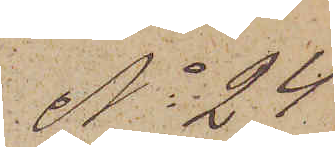No 24.
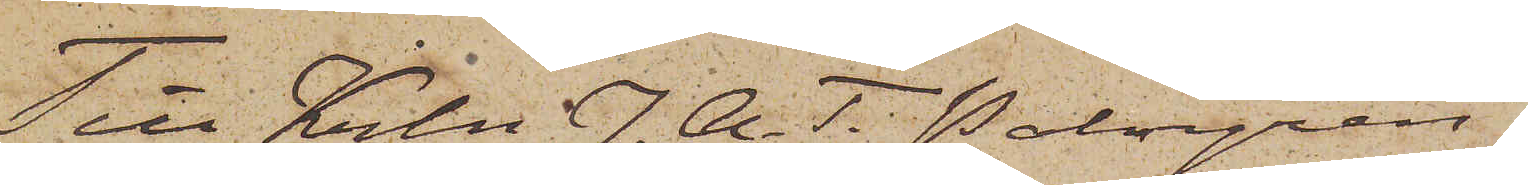Till Krln J. A. T. Palmgren
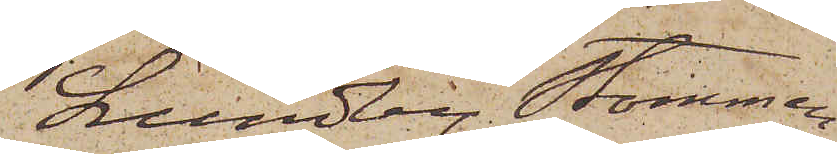Lundby Stommen
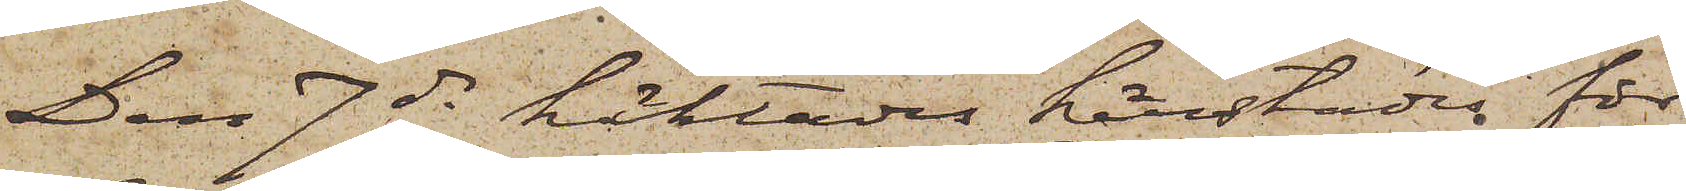Den 7 ds häktades härstädes för
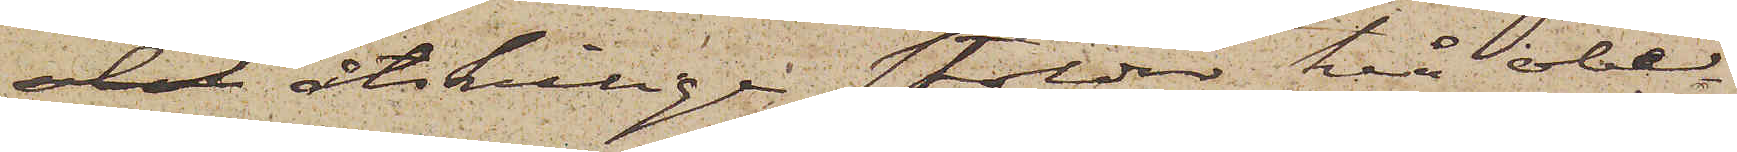del åtskillige stölder två obe¬
